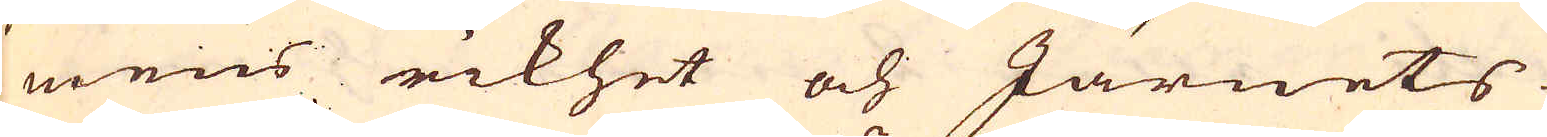mens rikhet och Järnets
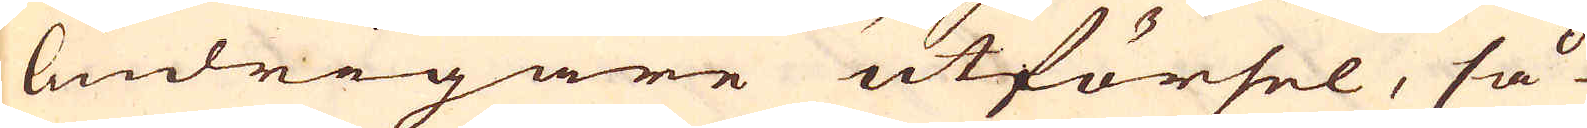lindrigare utförsel, så
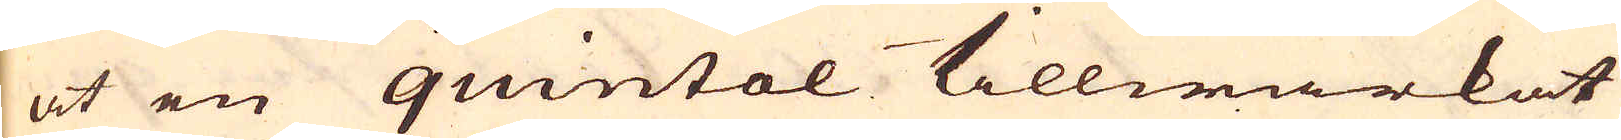at en quintal tillwärkat
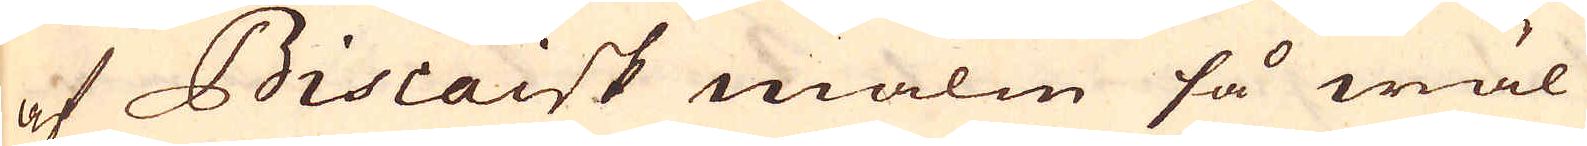af Biscaisk malm så wäl
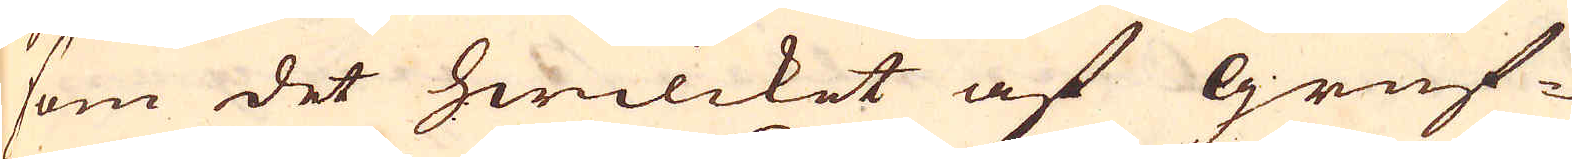som det hwilcket af Gruf-
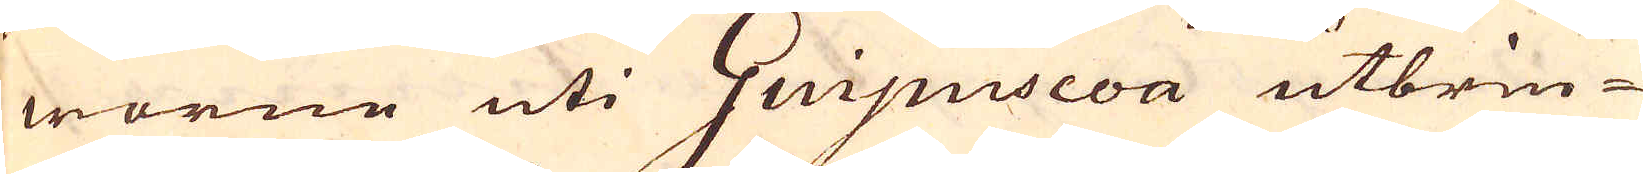worne uti Guipuscoa utbrin-
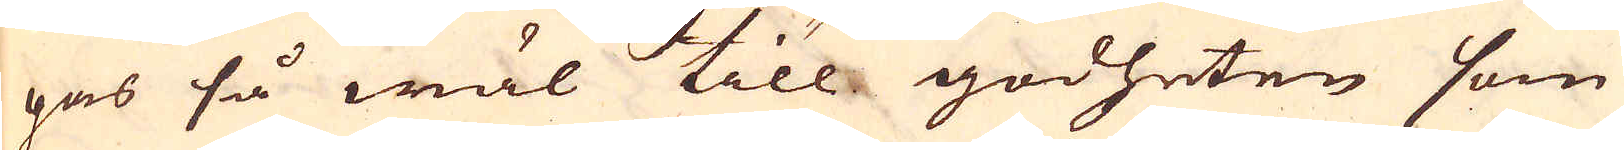gas så wäl till godheten som
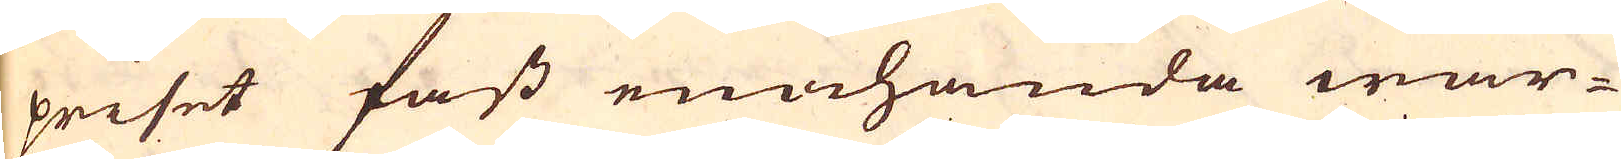priset fast enahanda war-
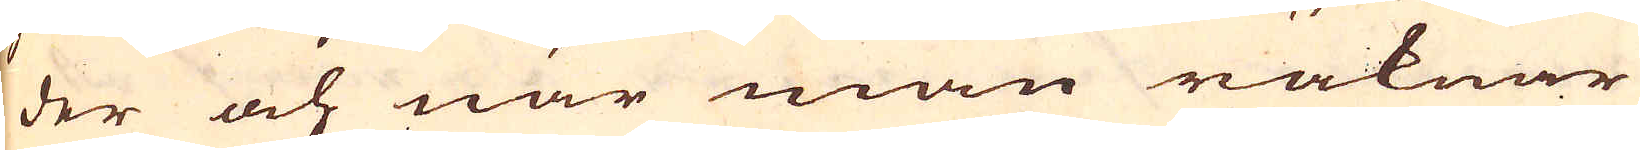der och när man räknar
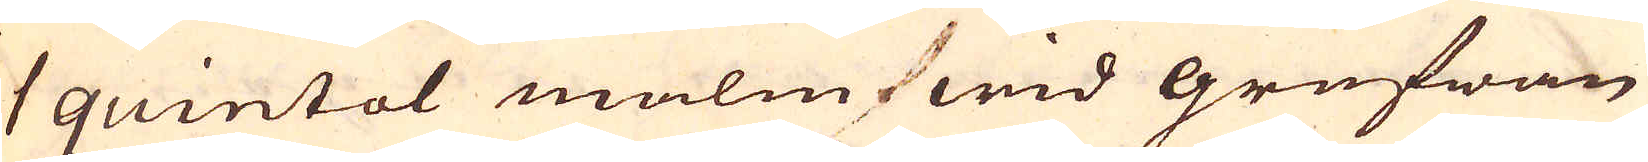1 quintal malm wid grufwan
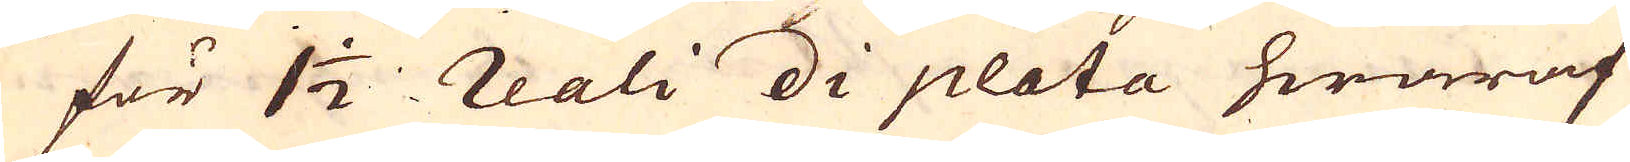för 1 1/2 reali di plata hwaraf
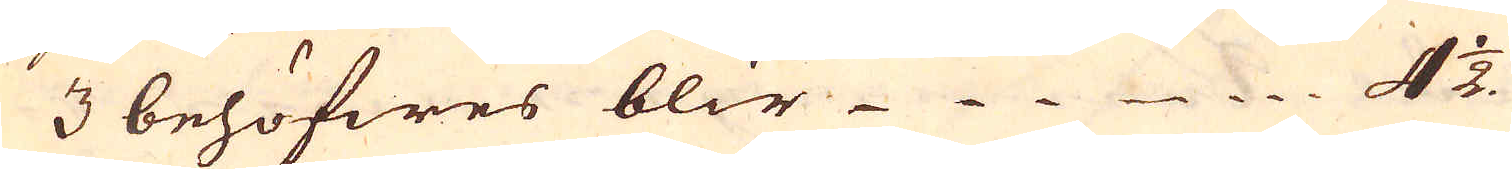3 behöfwes blir 4 1/2.
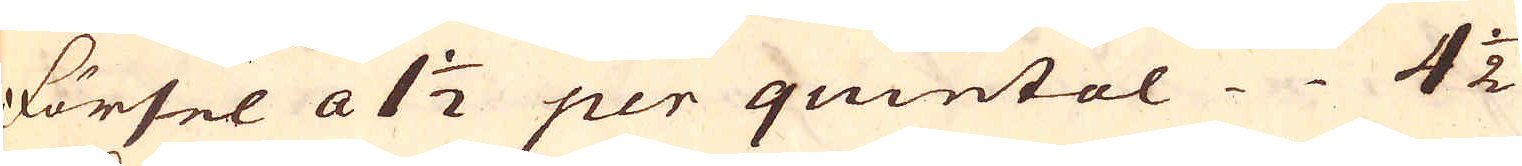Försel a 1 1/2 per quintal 4 1/2
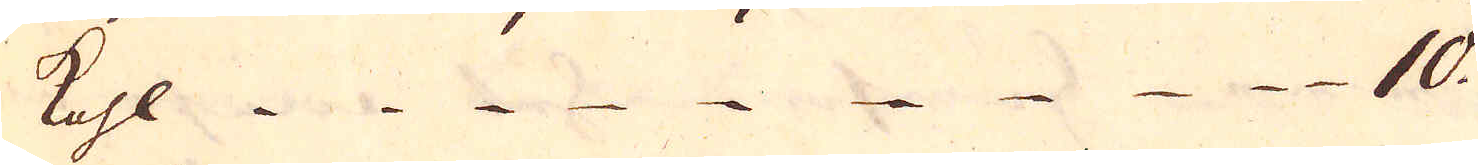Kohl 10.
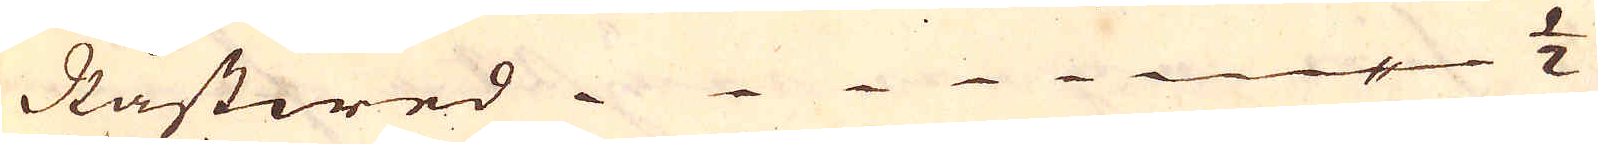Råstwed 1/2
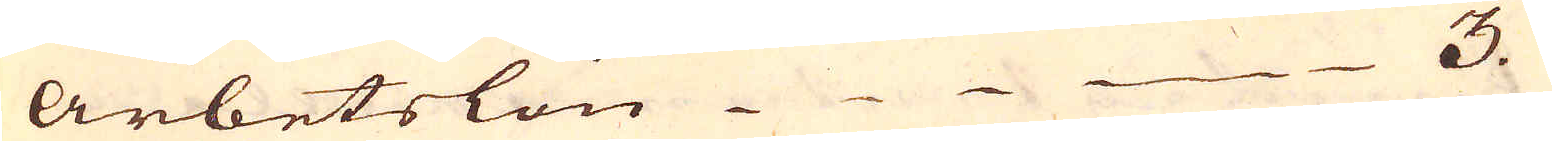Arbetslön 3.
